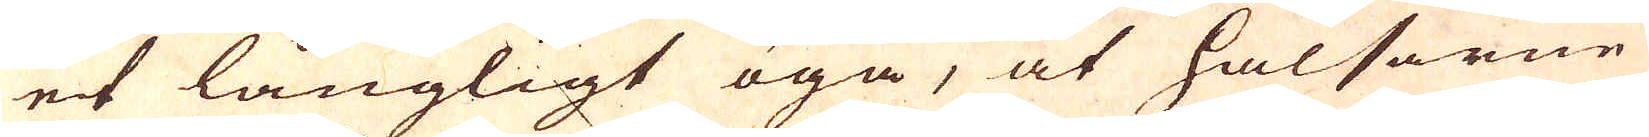et långligt öga, at halsarne
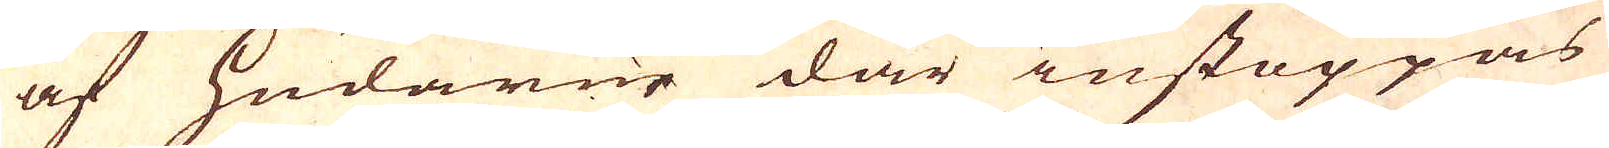af hudarne där instoppas
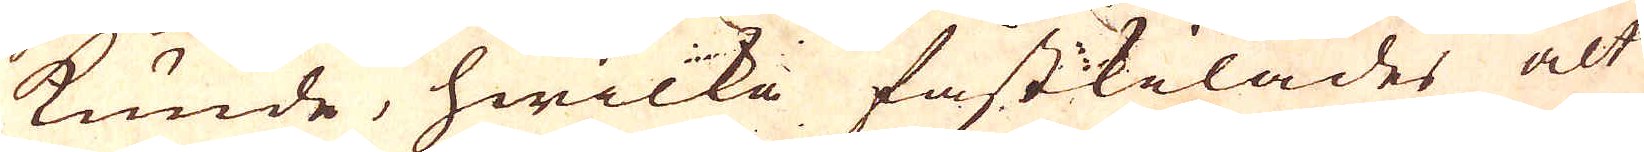kunde, hwilka fastkilades alt
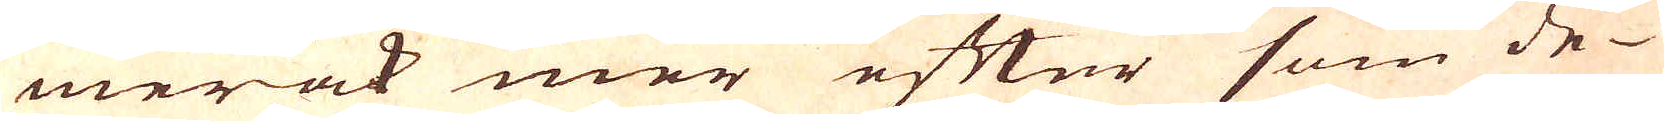mer ock mer efter som de
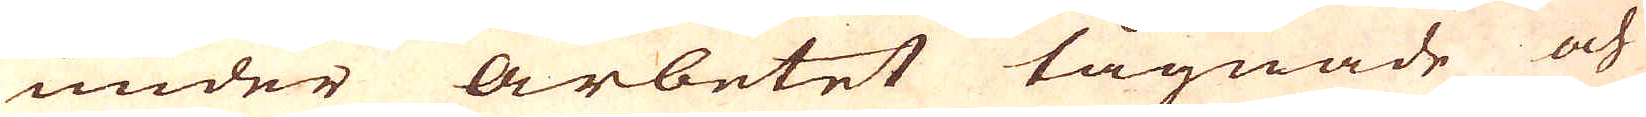under arbetet lågnade och
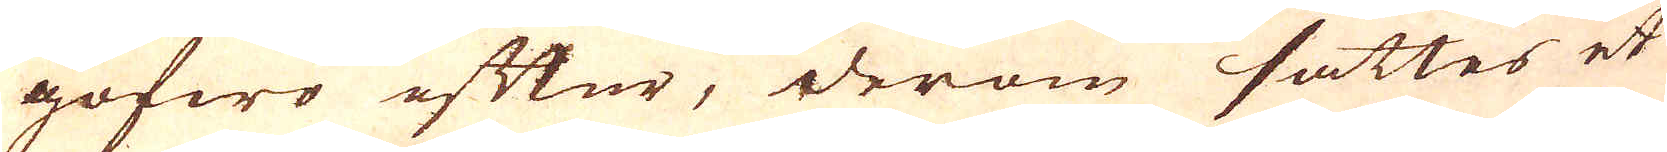gofwo eftur, derom sättes et
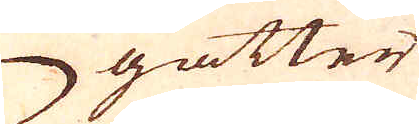gatter
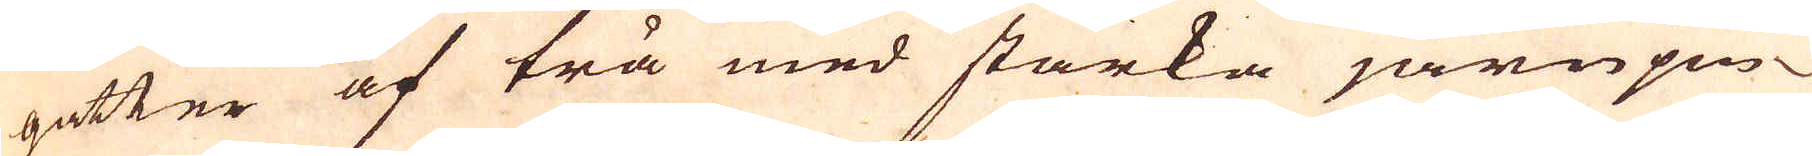gatter af trä med starka järnpin-
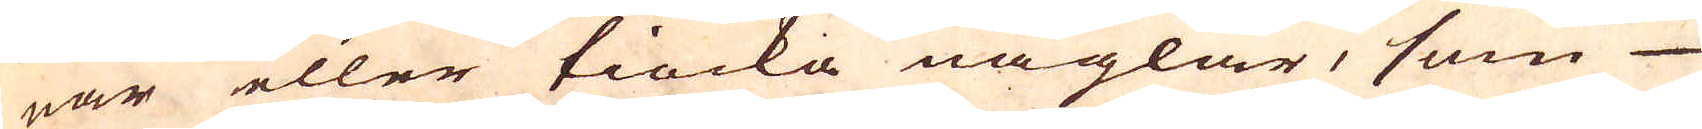nar eller tiocka naglar, som
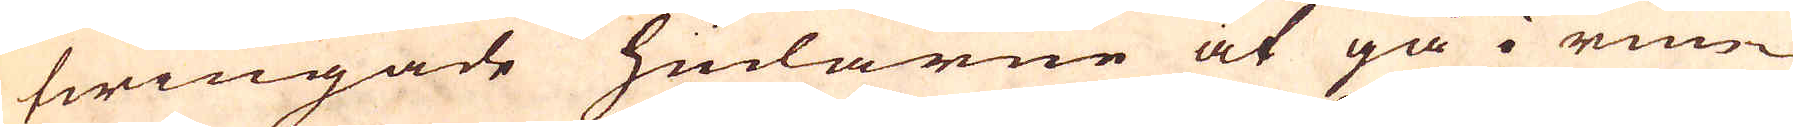twingade hudarne at gå i run-
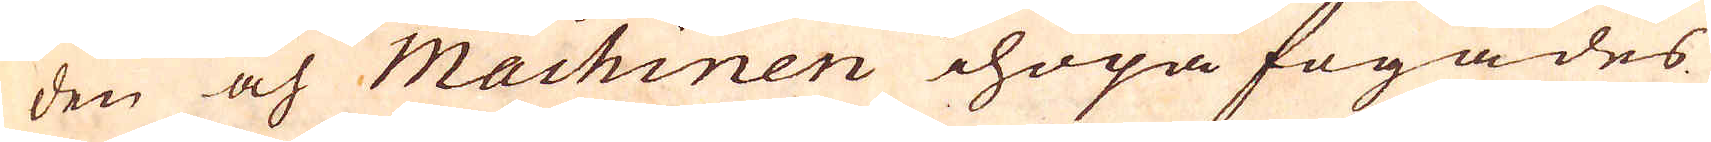den och Machinen ihopa fogades
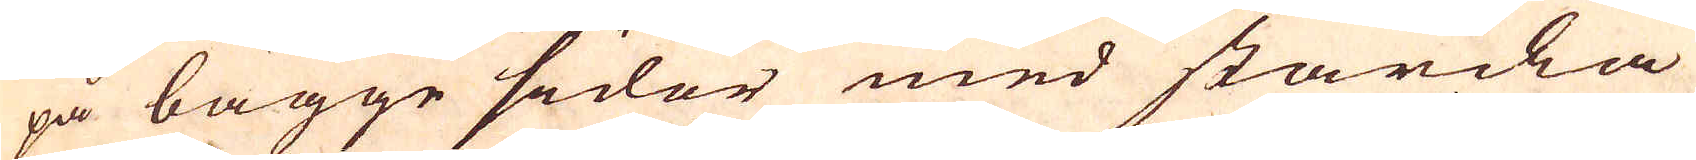på bägge sidor med starcka
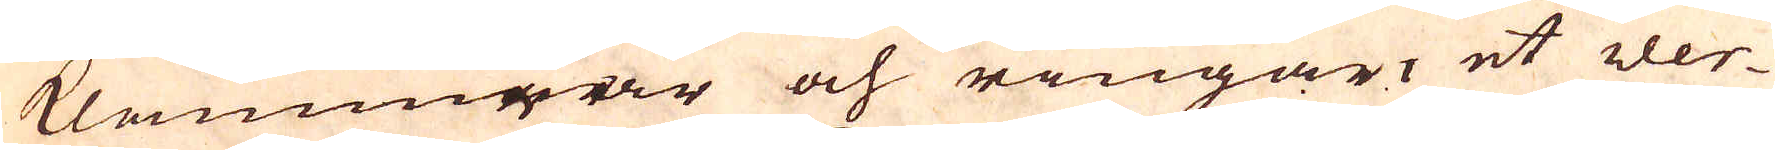klammrar och ringar, et ver-
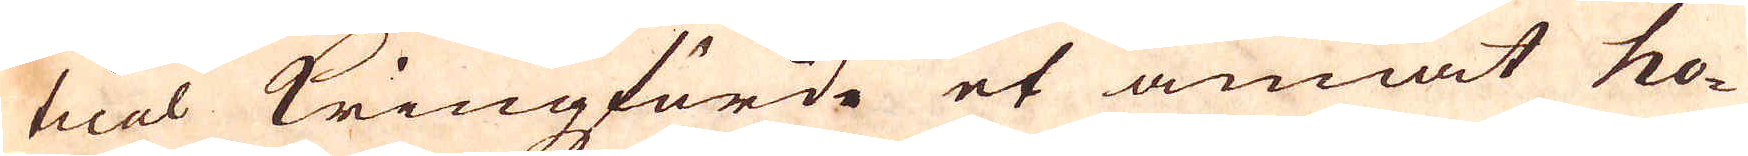tical Kringförde et annat ho-
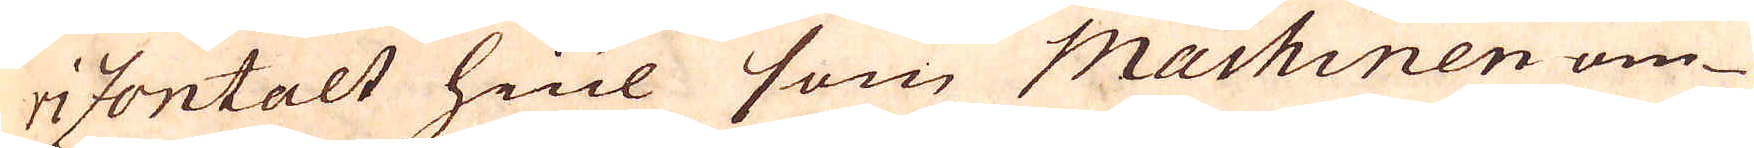rizontalt hiul som Machinen om-
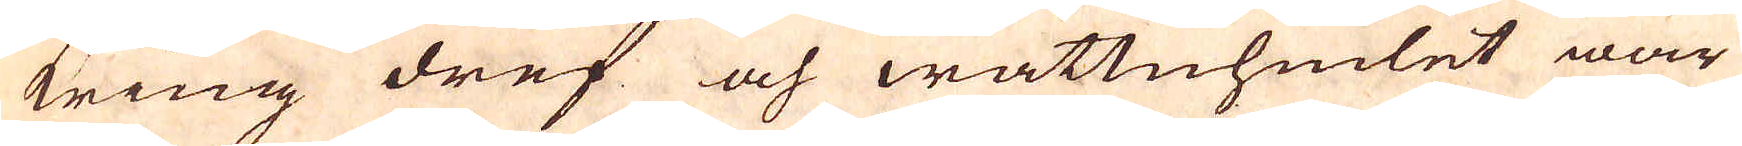kring dref och wattuhiulet war
